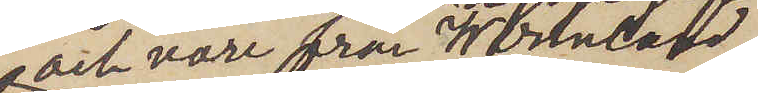och vore från Wermland
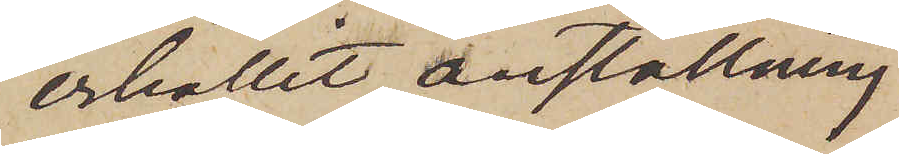erhållit anställning
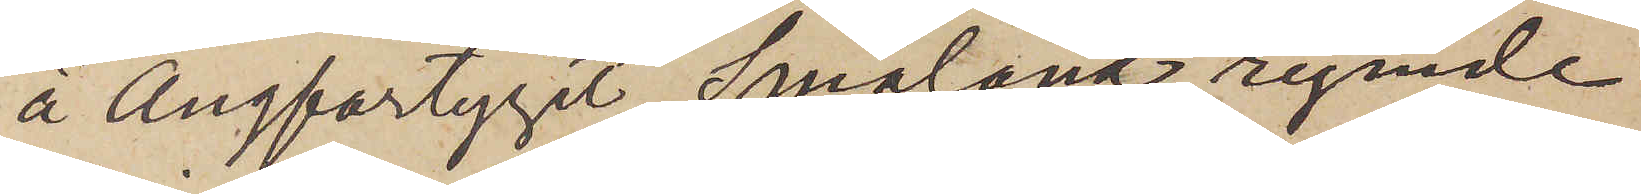å Ångfartyget Småland, rymde
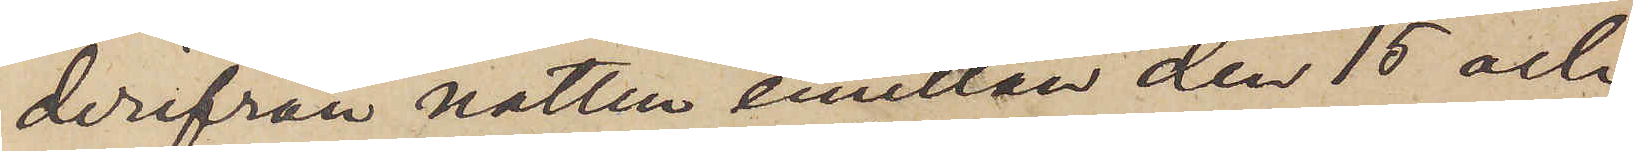derifrån natten emellan den 15 och
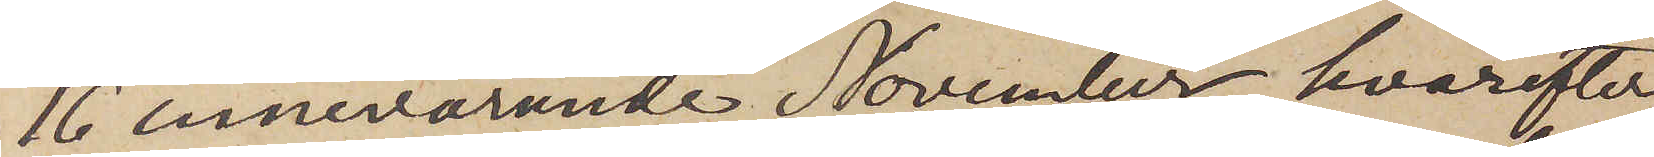16 innevarande November, hvarefter
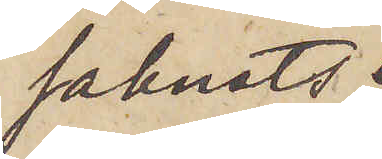saknats
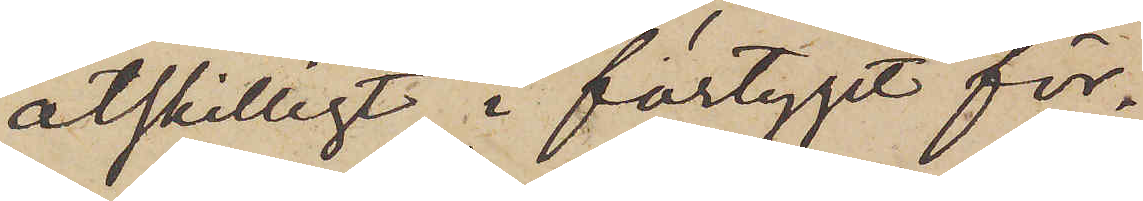åtskilligt i fartyget för¬
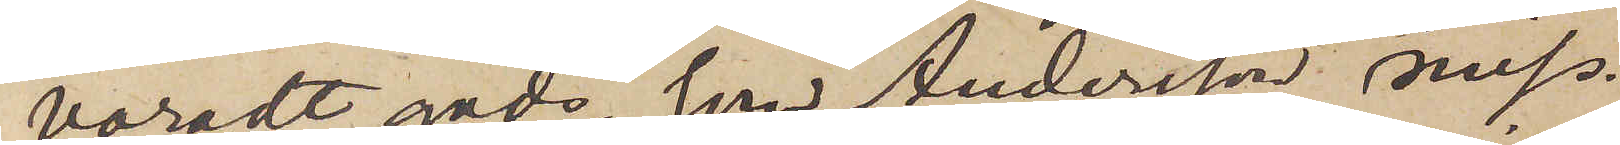varadt gods, som Andersson miss¬
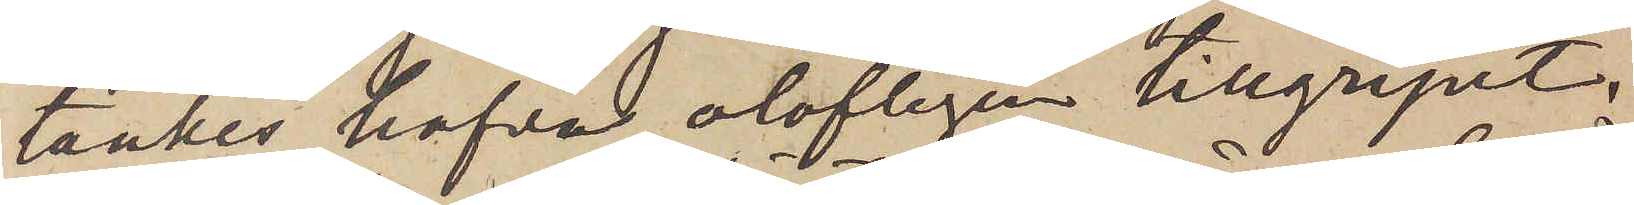tänkes hafva olofligen tillgripit,
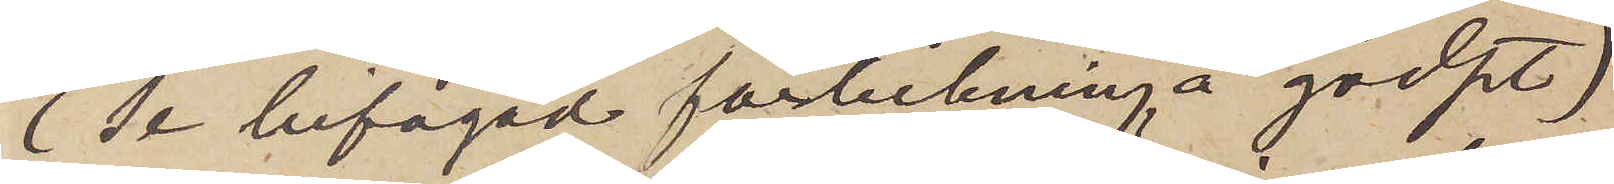(Se bifogad förteckning å godset)
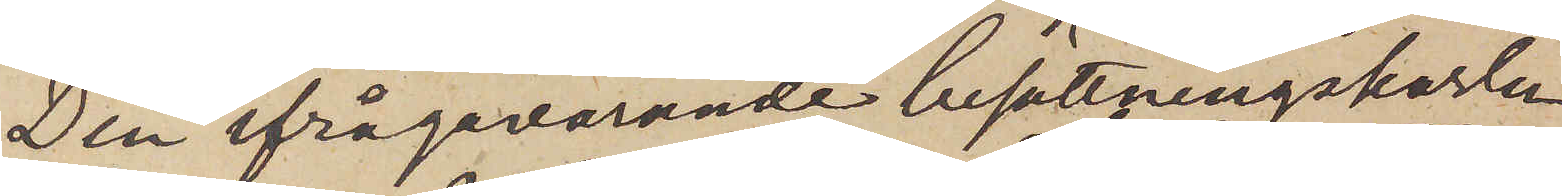Den ifrågavarande besättningskarlen,
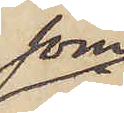som
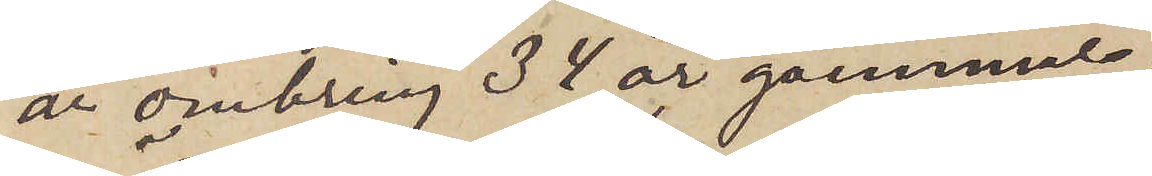är omkring 32 år gammal
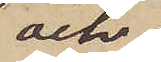och
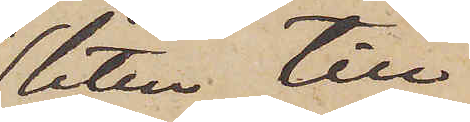liten till
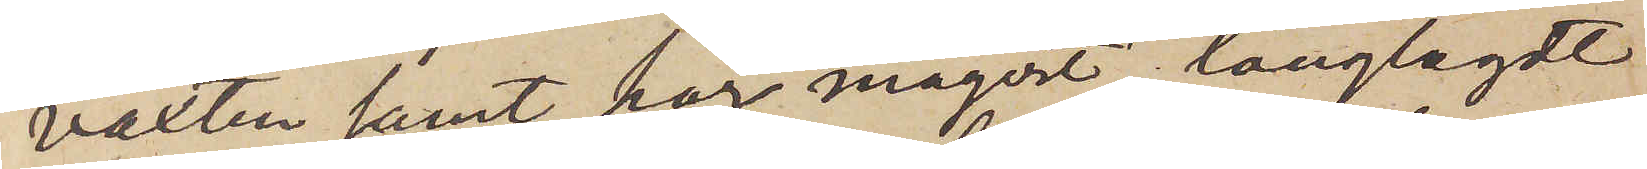växten samt har magert långlagdt
